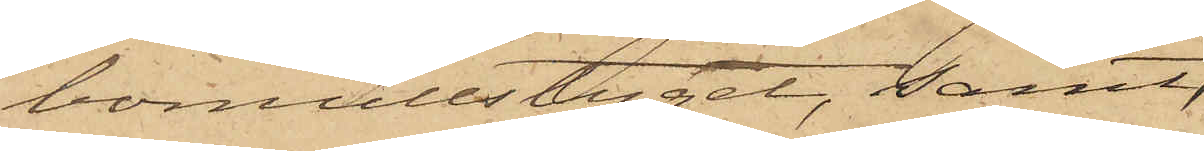bomullstyget, samt
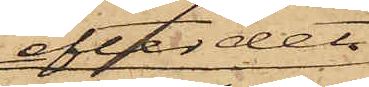efter det
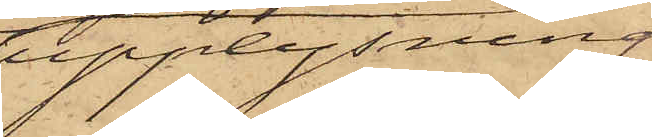upplysning
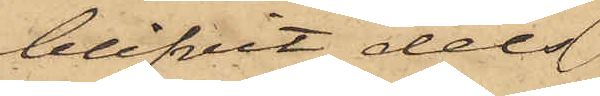blifvit dels
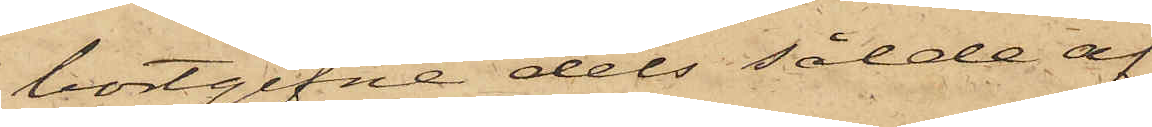bortgifne dels sålda af
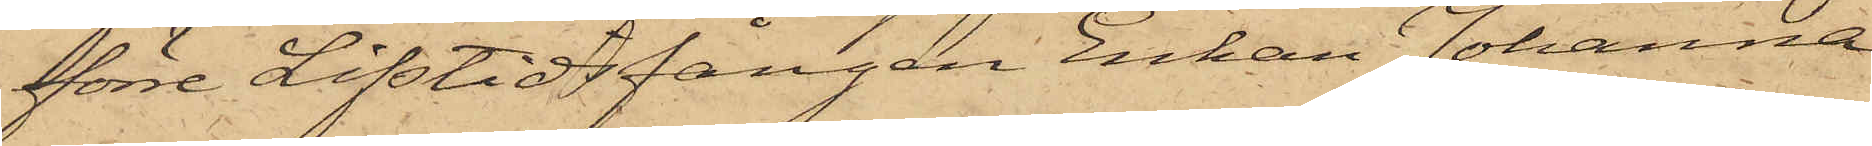förre Lifstidsfången Enkan Johanna
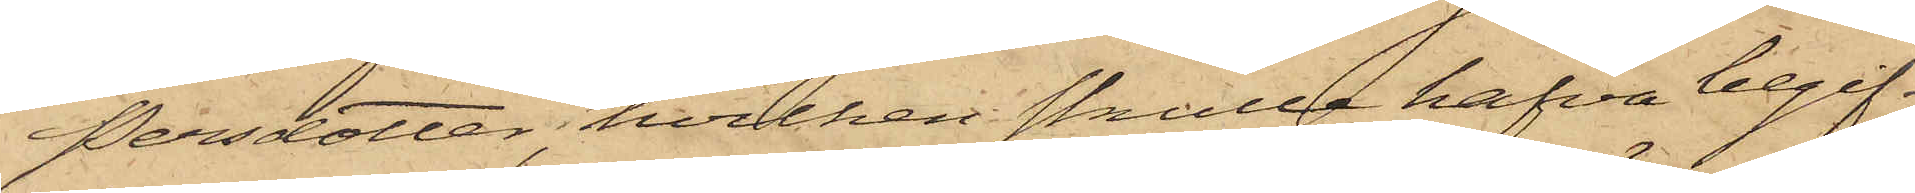Persdotter, hvilken skulle hafva begif¬
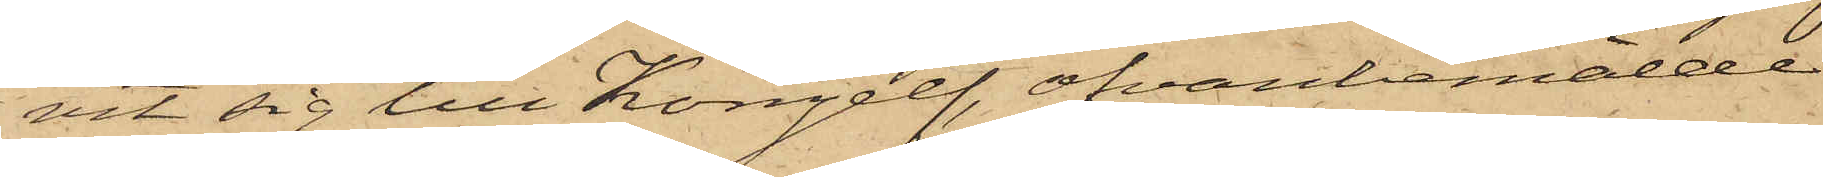vit sig till Kongelf, ofvanbemälde
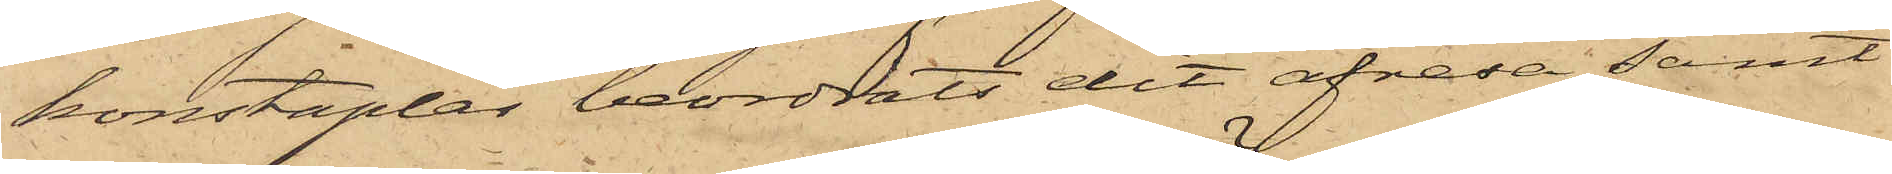konstaplar beordrats dit afresa samt
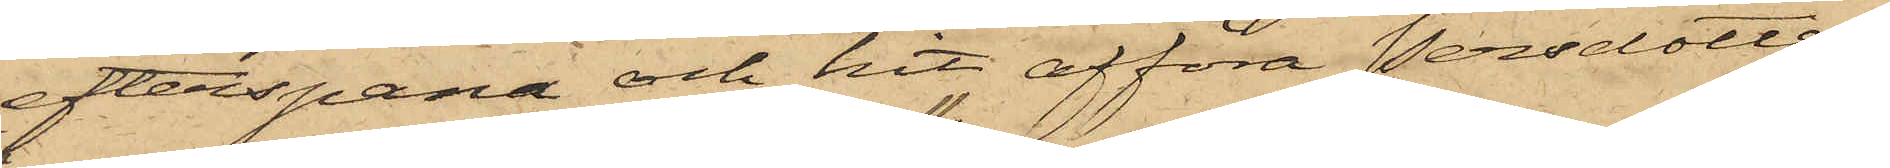efterspana och hit afföra Persdotter,
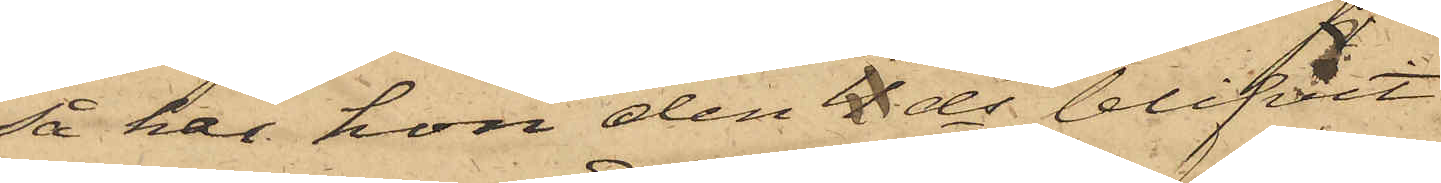så har hon den 11 ds blifvit
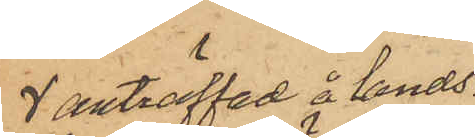 anträffad å lands¬
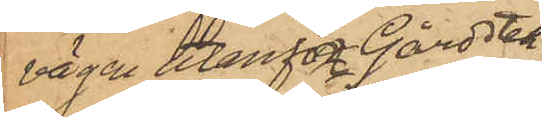vägen utanför Gårdsten
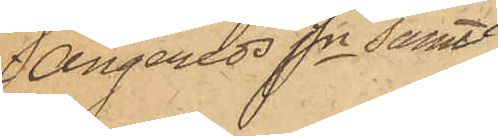i Angereds Sn samt
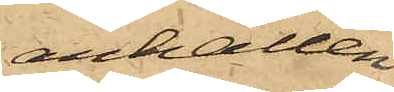anhållen
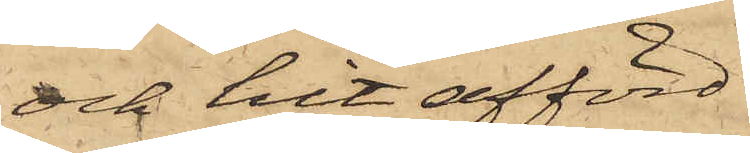och hit afförd.
